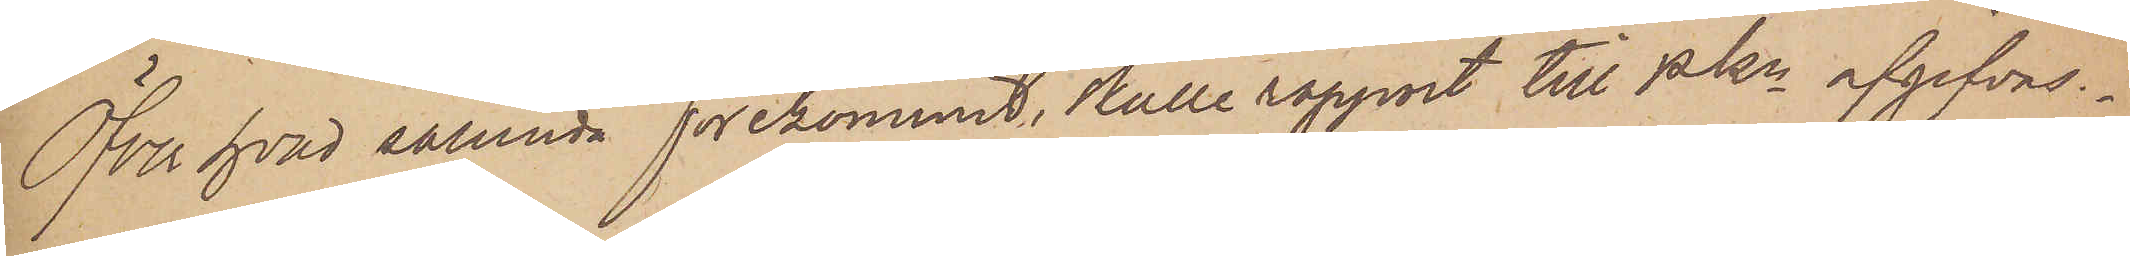Över hvad sålunda förekommit, skulle rapport till Pkn afgifvas.
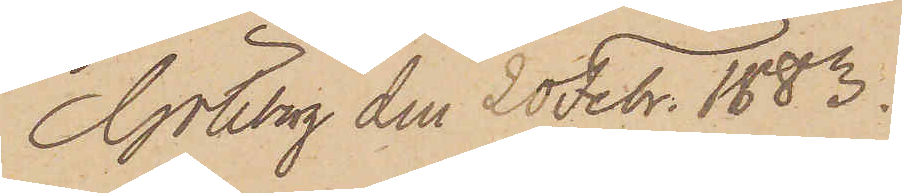Göteborg den 20 Febr. 1883.
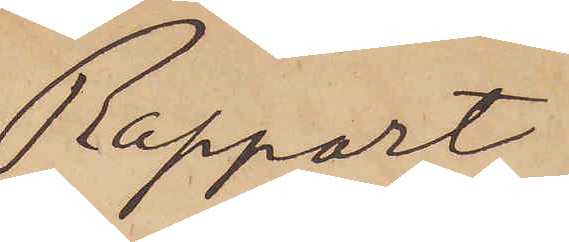Rapport
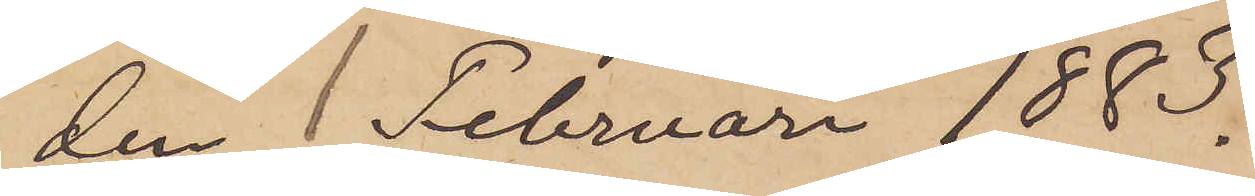den 1 Februari 1883.
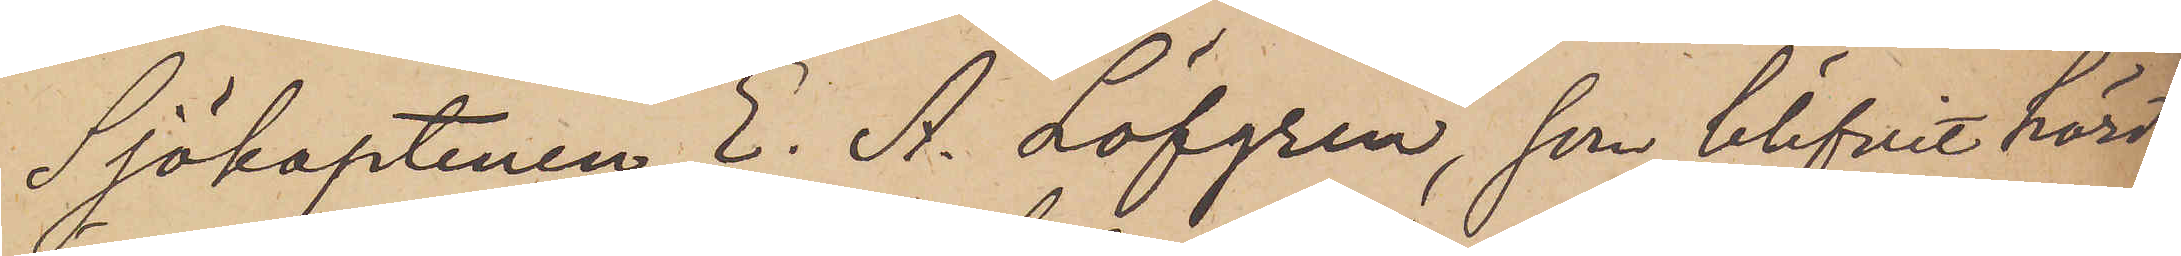Sjökaptenen E. A. Löfgren, som blifvit hörd
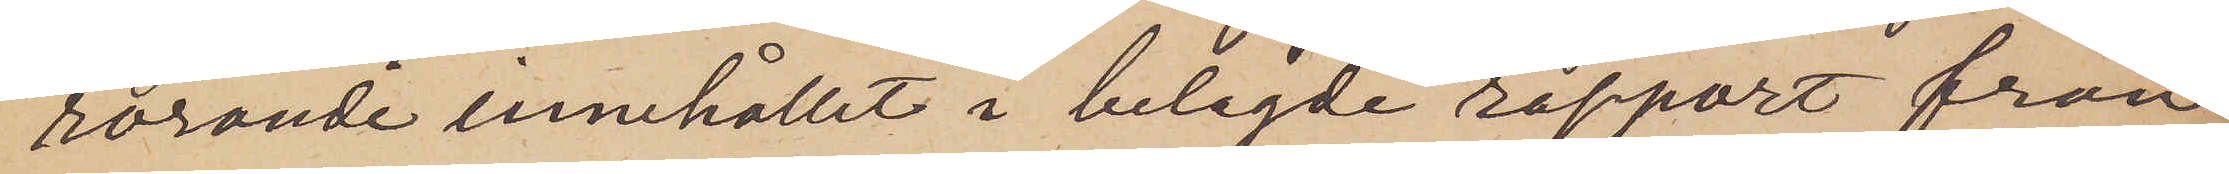rörande innehållit i bilagde rapport från
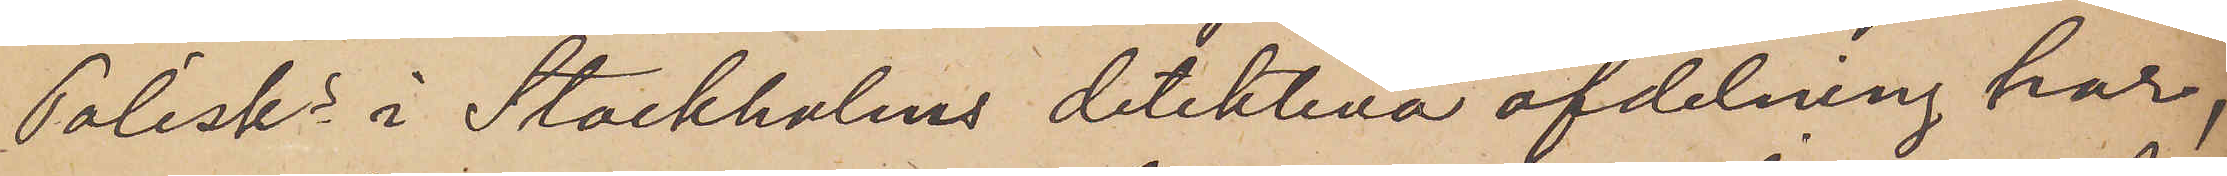Polisks i Stockholms detektiva afdelning har,
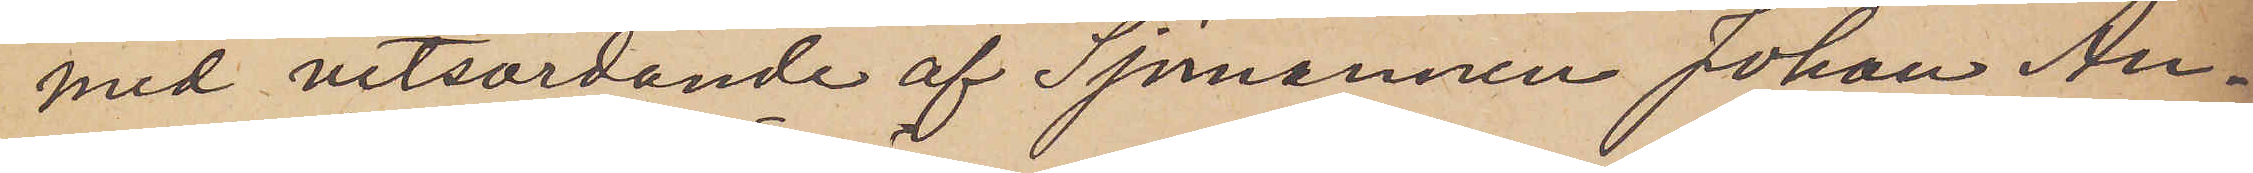med vitsordande af Sjömannen Johan An¬
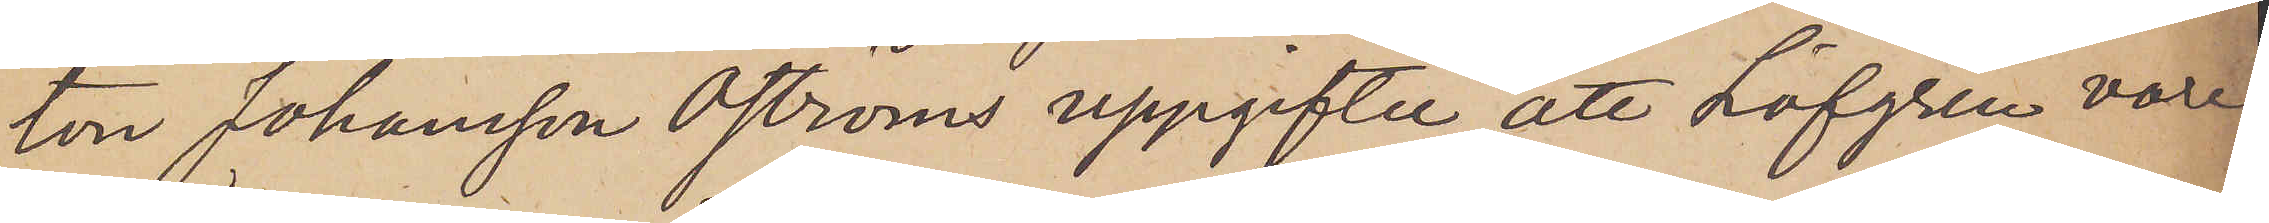ton Johansson Öströms uppgifter, att Löfgren vore
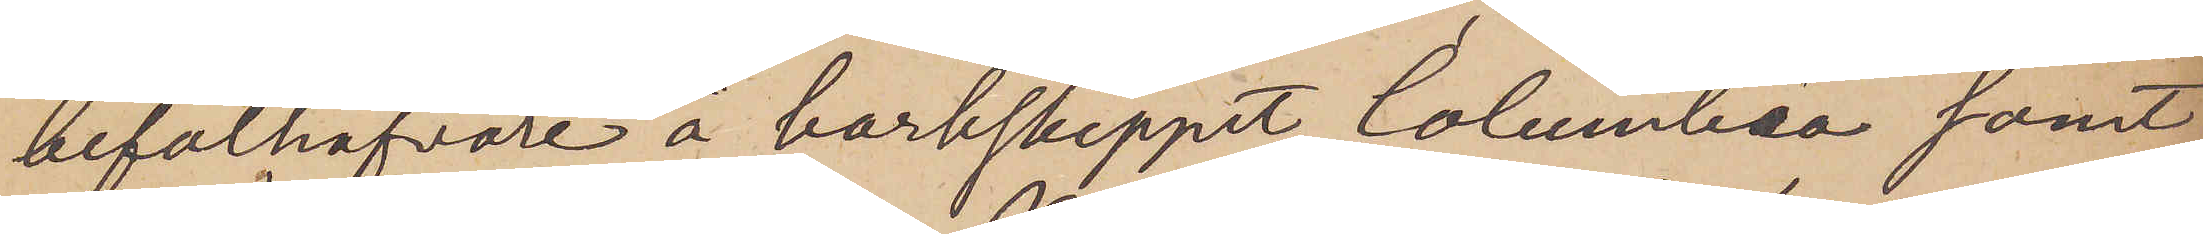befälhafvare å barkskeppet Columbia samt
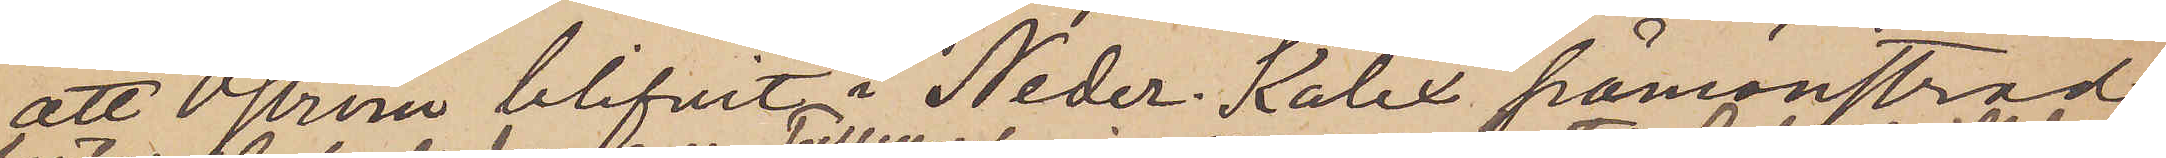att Öström blifvit i Neder-Kalix påmönstrad
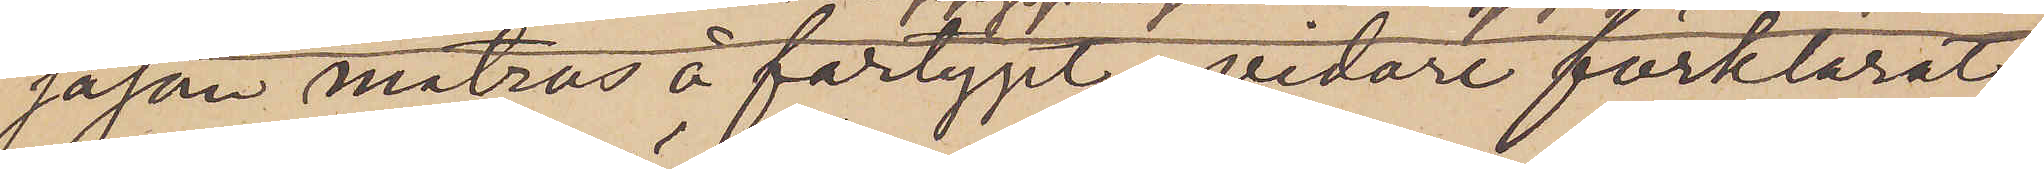såsom matros å fartyget, vidare förklarat:
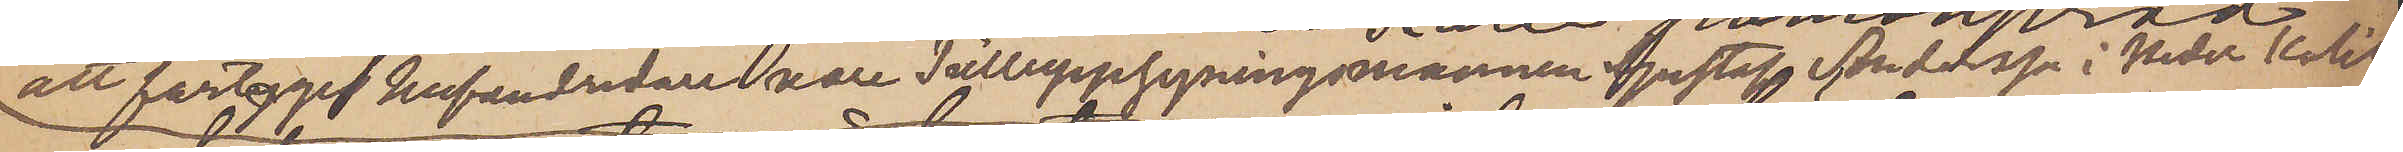att fartyget hufvudredare vore Tulluppsyningsmannen Gustaf Andersson i Neder Kalix,
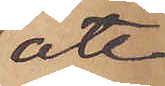att
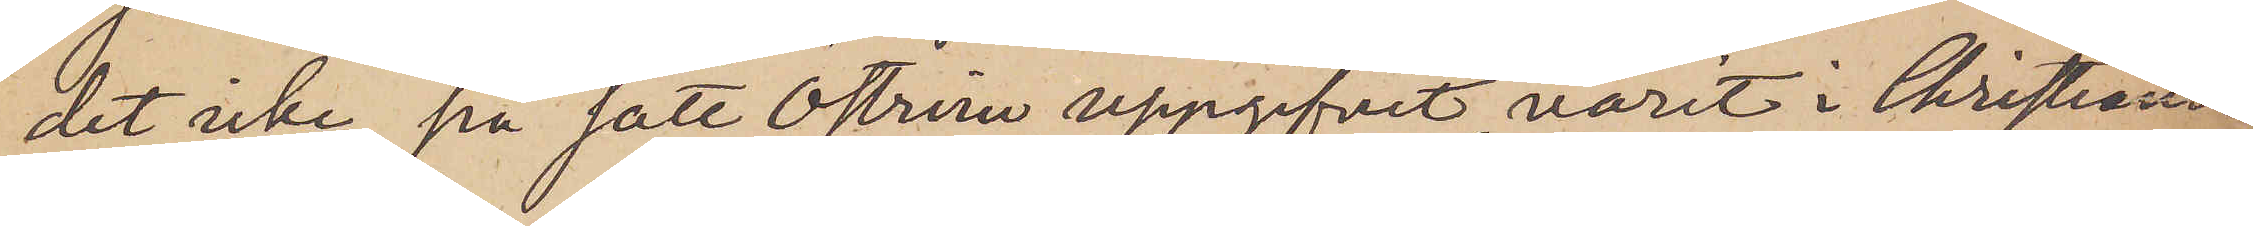det icke på sätt Öström uppgifvit, varit i Christiania
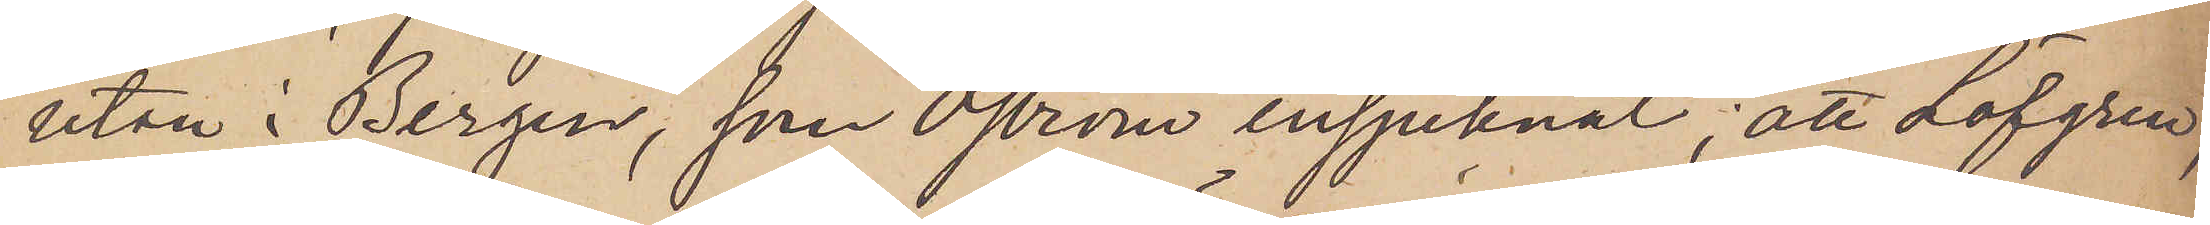utan i Bergen, som Öström insjuknat; att Löfgren,
